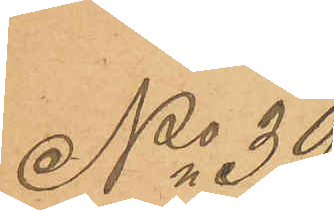No 39
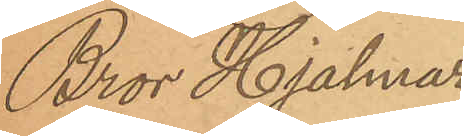Bror Hjalmar
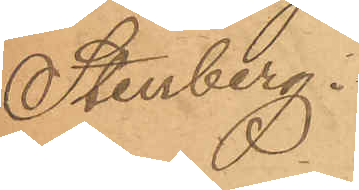Stenberg.
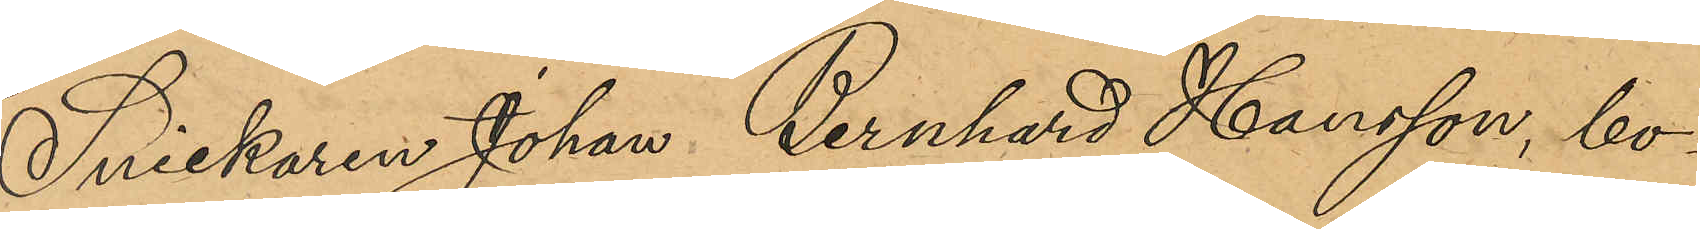Snickaren Johan Bernhard Hansson, bo¬
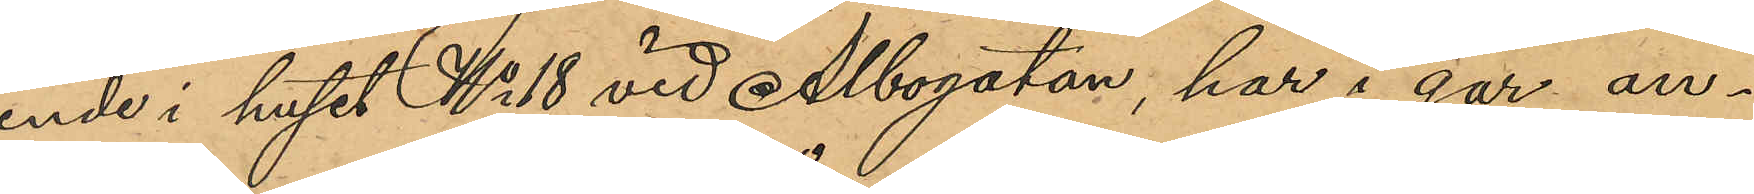ende i huset No 18 vid Albogatan, har i går an¬
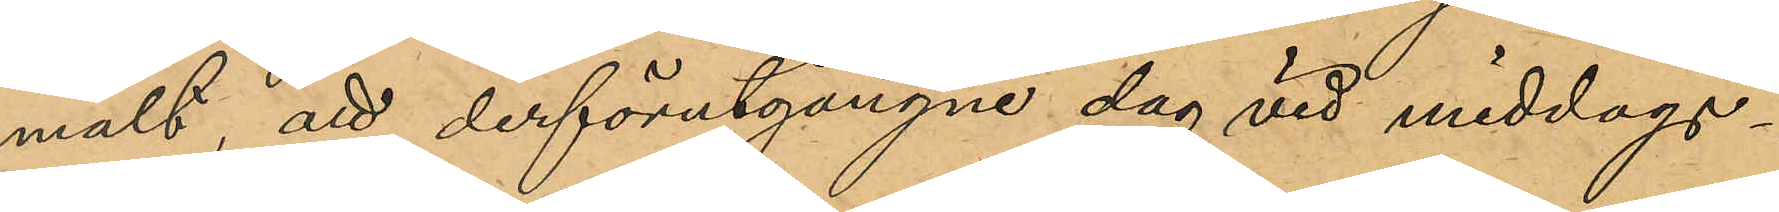mält, att derförutgångne dag vid middags¬
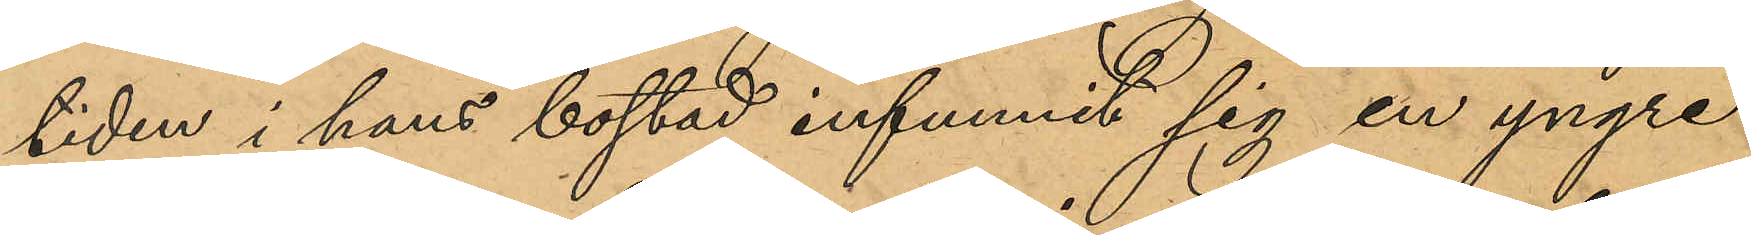tiden i hans bostad infunnit sig en yngre
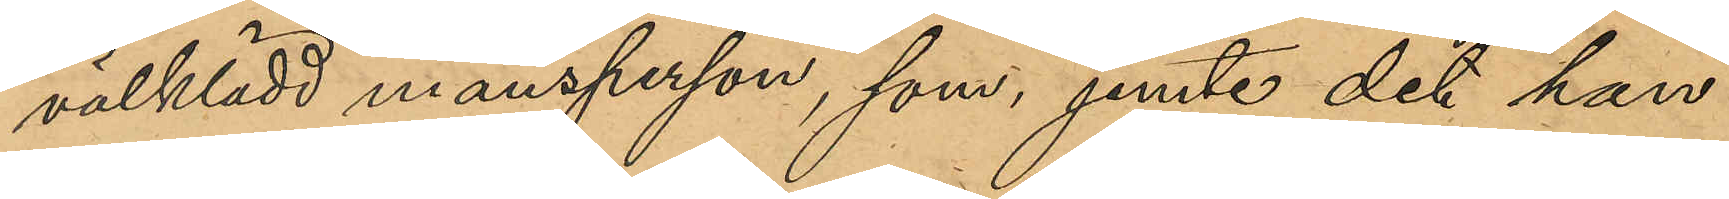välklädd mansperson, som jemte det han
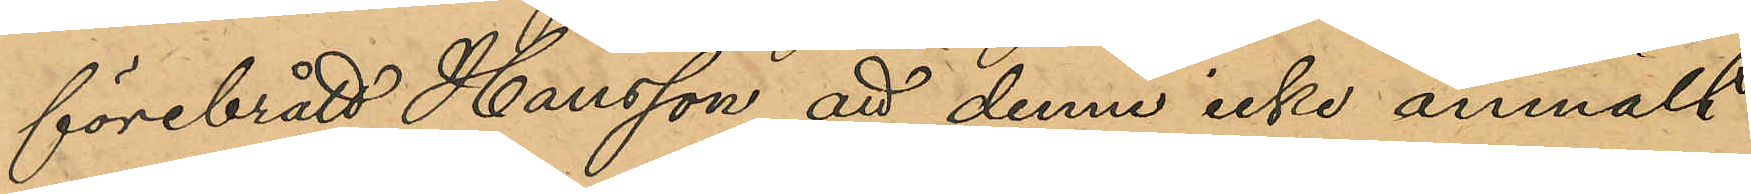förebrått Hansson att denne icke anmält
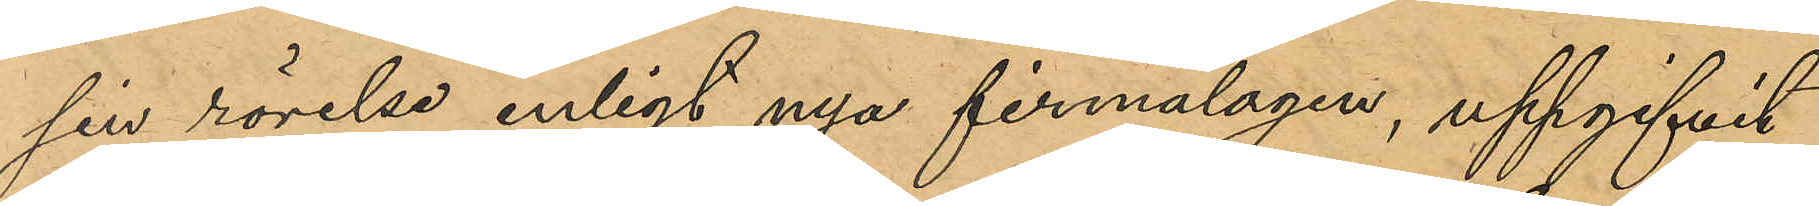sin rörelse enligt nya firmalagen, uppgifvit
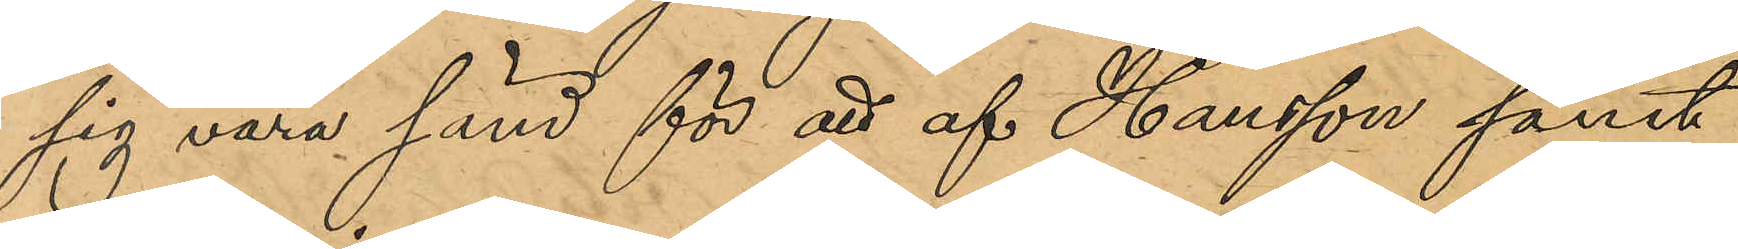sig vara sänd för att af Hansson samt
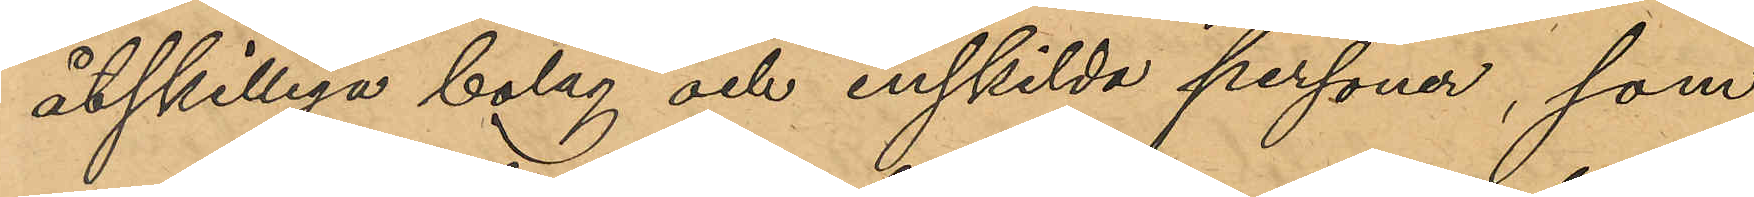åtskilliga bolag och enskilda personer, som
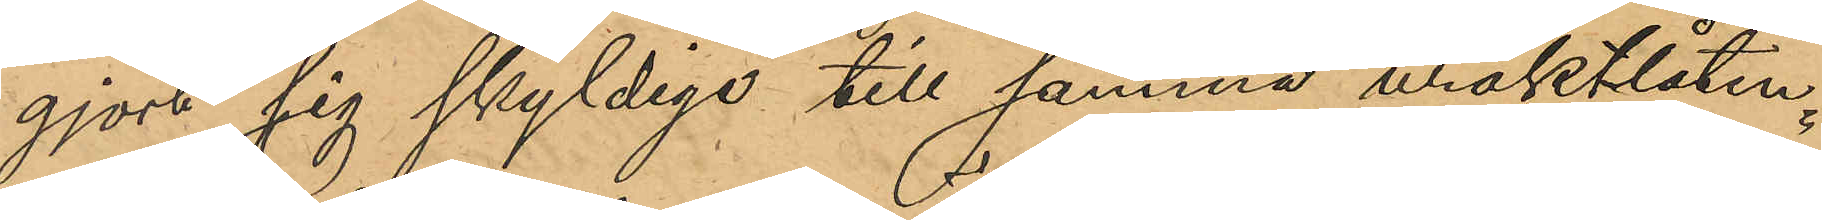gjort sig skyldiga till samma uraktlåten¬
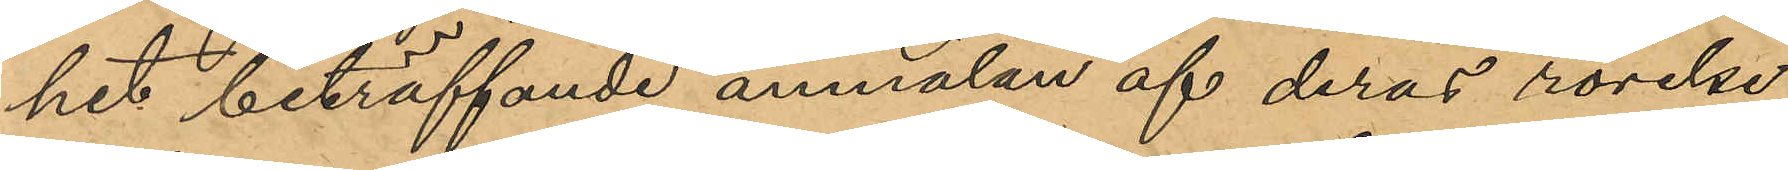het beträffande anmälan af deras rörelse,
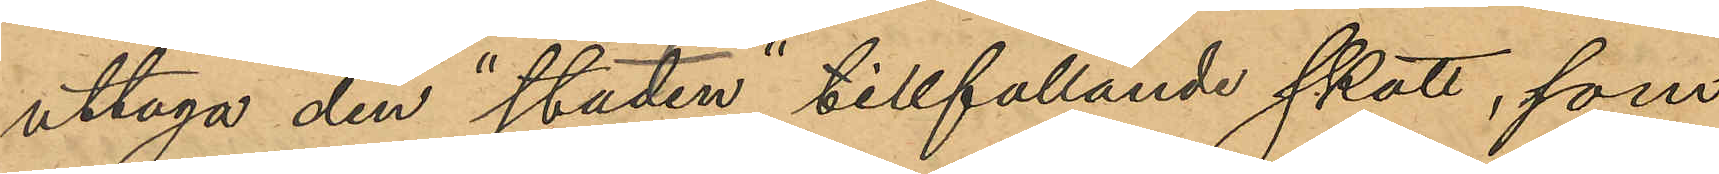uttaga den "staden" tillfallande skatt, som
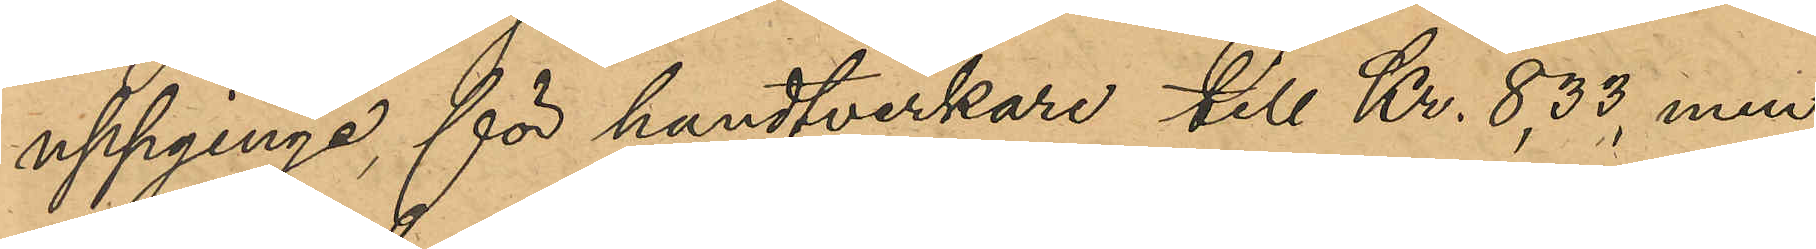uppginge för handtverkare till Kr. 8,33, men
